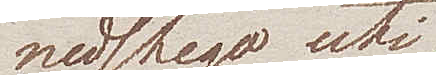nedstego uti
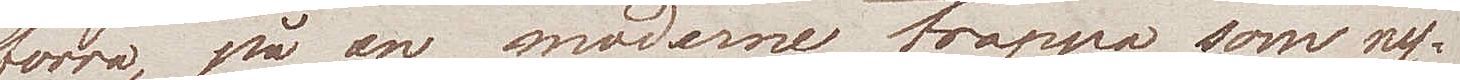förra, på en moderne trappa, som ny¬
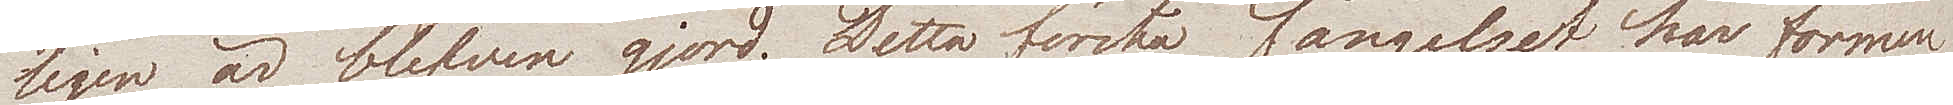ligen är blifven gjord. Detta första fängelset har formen
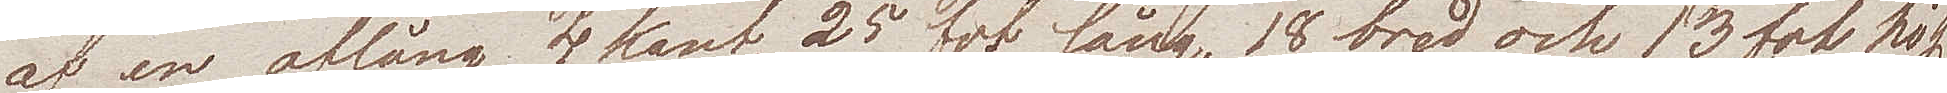af en aflång 4 kant, 25 fot lång, 18 bred och 13 fot hög.
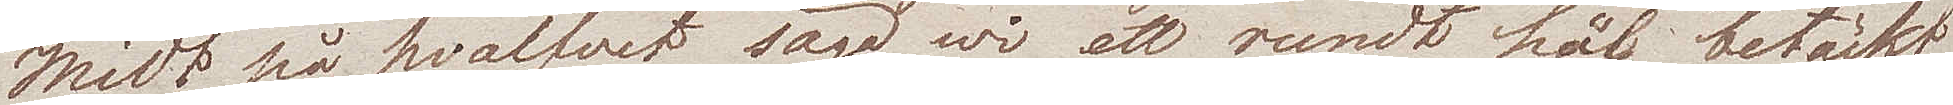Midt på hvalfvet sågo wi ett rundt hål betäckt
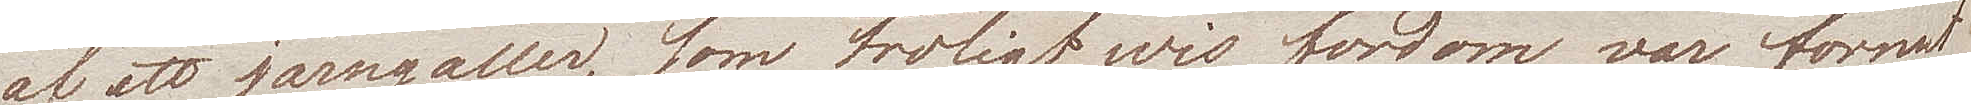af ett järngaller, som troligtwis fordom var format
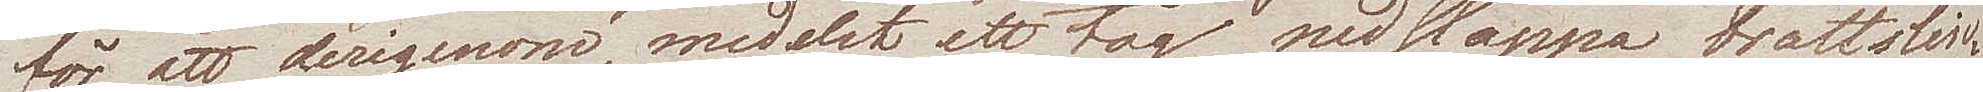för att derigenom, medelst ett tåg nedsläppa brottslin¬
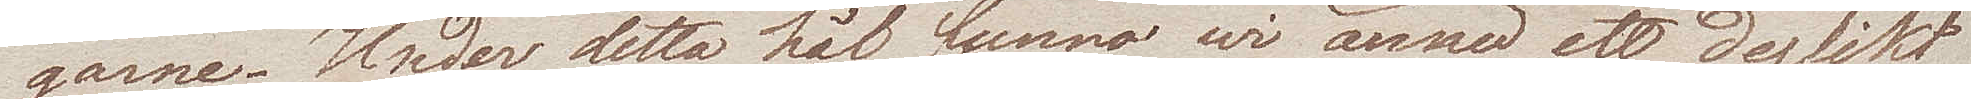garne. Under detta hål funno wi ännu ett dylikt
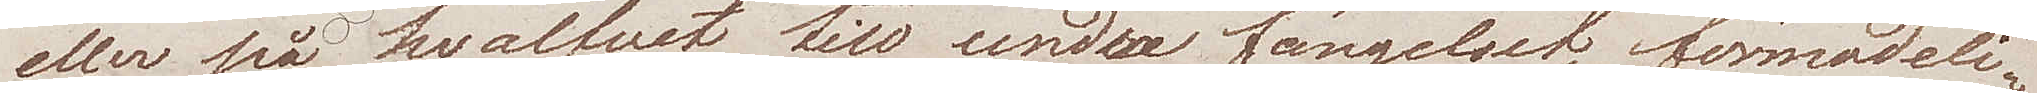eller på hvalfvet till undre fängelset, förmodeli¬
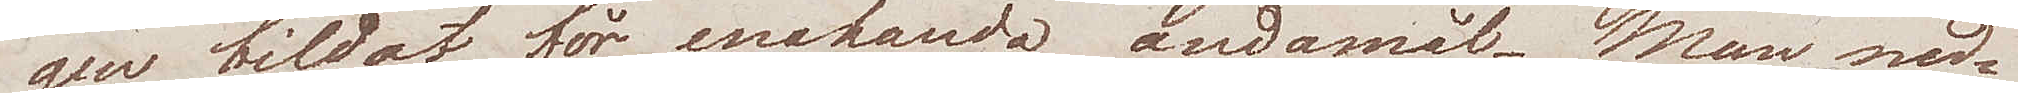gen bildat för enahanda ändamål. Man ned¬
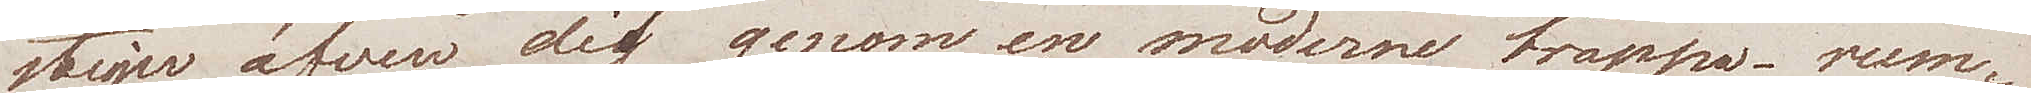stiger äfven dit genom en moderne trappa – rum¬
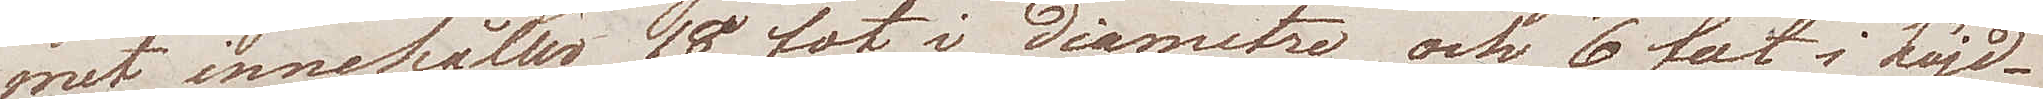met innehåller 18 fot i diametre och 6 fot i höjd.
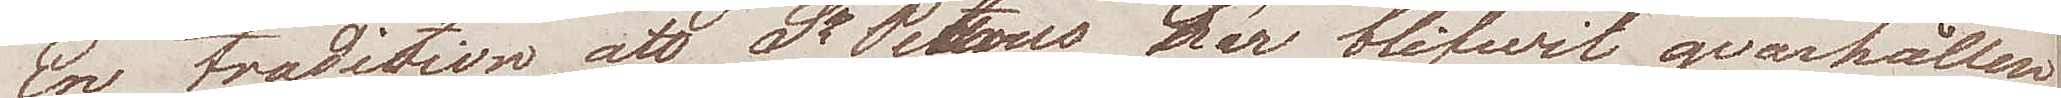En tradtion, att St Petrus här blifwit qvarhållen
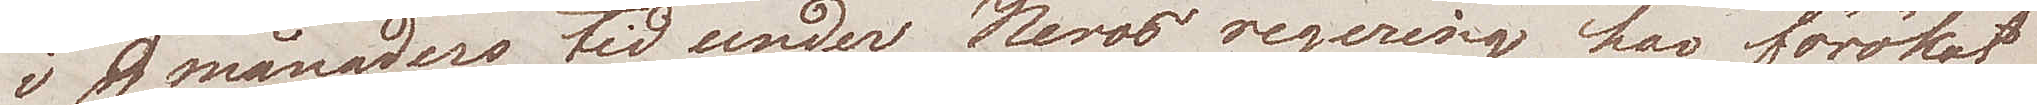i 9 månaders tid under Neros regering, har förökat
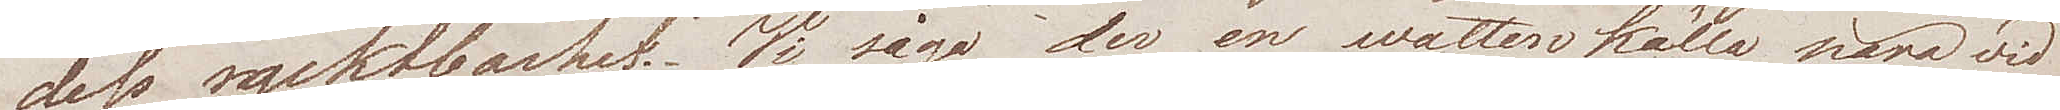dess ryktbarhet. Vi sågo der en wattenkälla nära wid
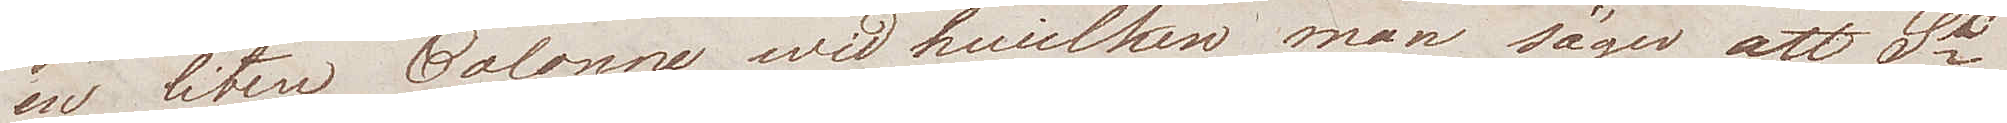en liten Colonne wid hwilken man säger att St
